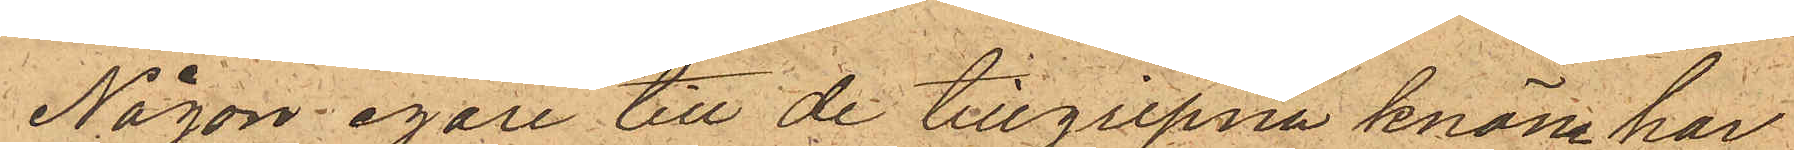Någon egare till de tillgripna knäne har
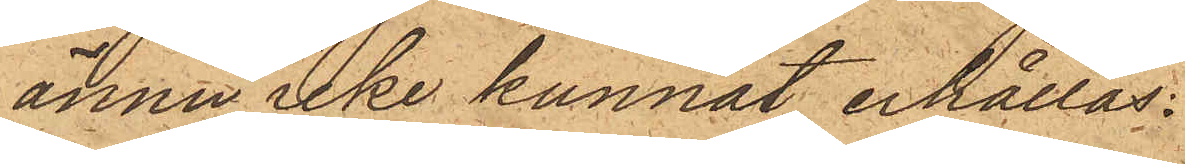ännu icke kunnat erhållas.
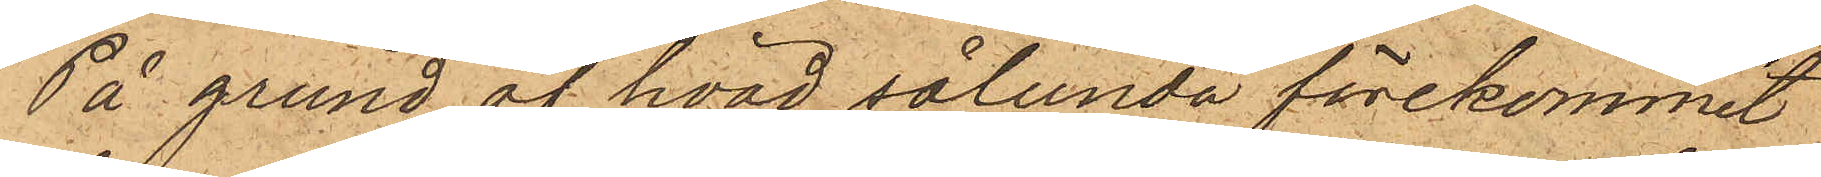På grund af hvad sålunda förekommit
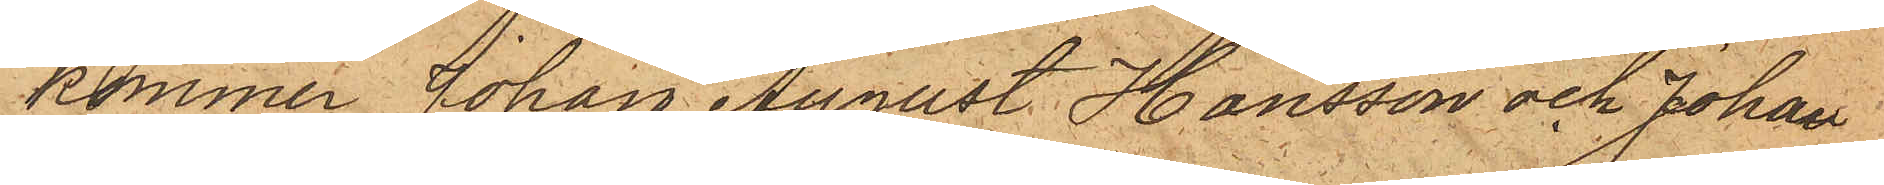kommer Johan August Hansson och Johan
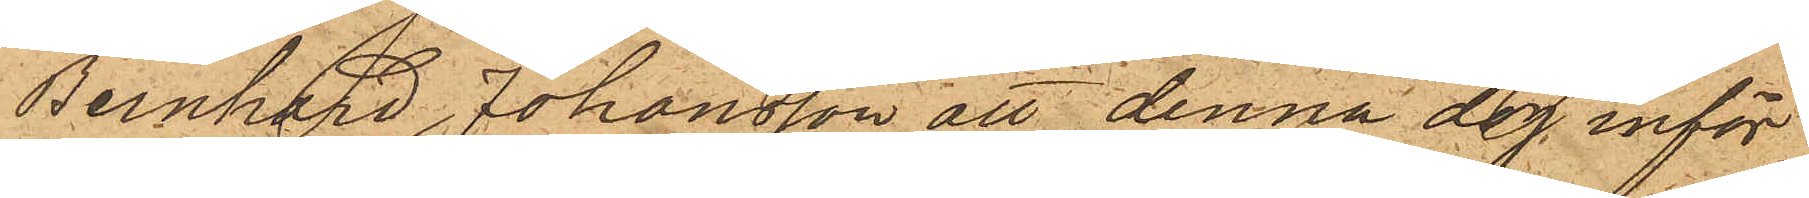Bernhard Johansson att denna dag inför
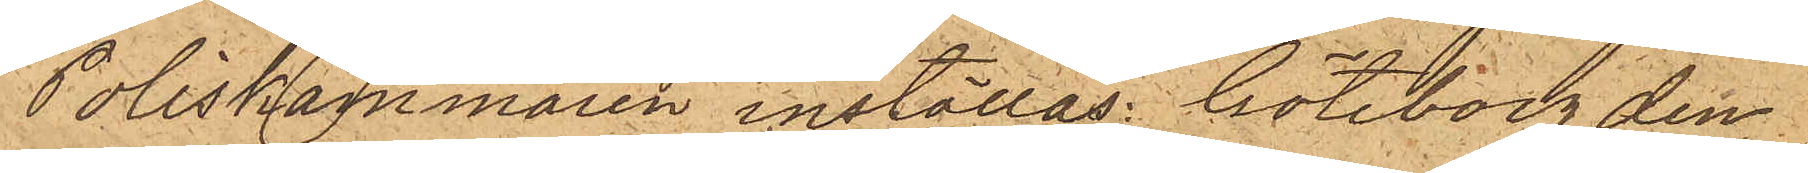Poliskammaren inställas. Göteborg den
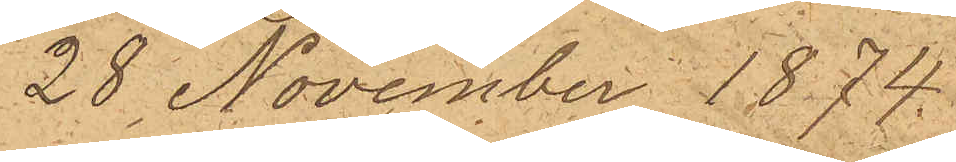28 November 1874.
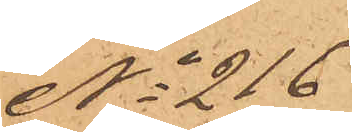No 216
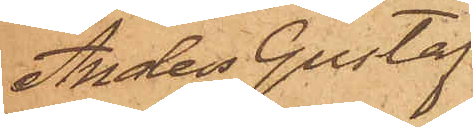Anders Gustaf
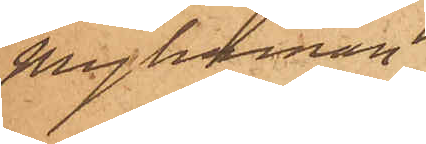Myhrman
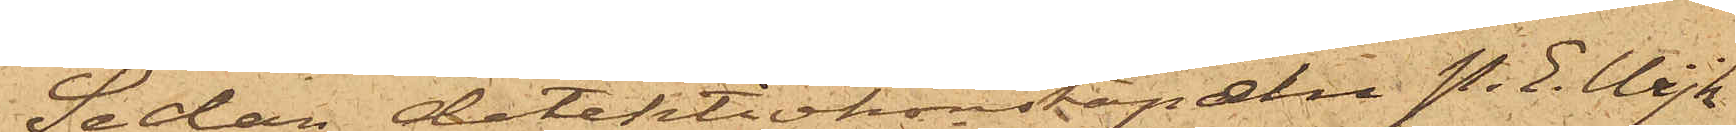Sedan detektivkonstapaln P. E. Wijk
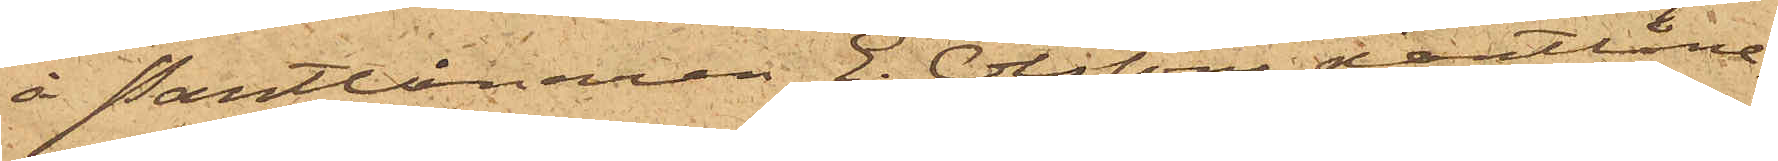å Pantlånaren E. Olssons pantlåne¬
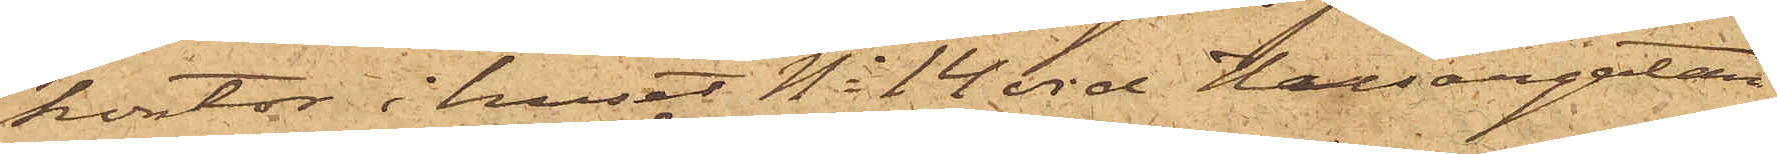kontor i huset No 14 vid Husargatan
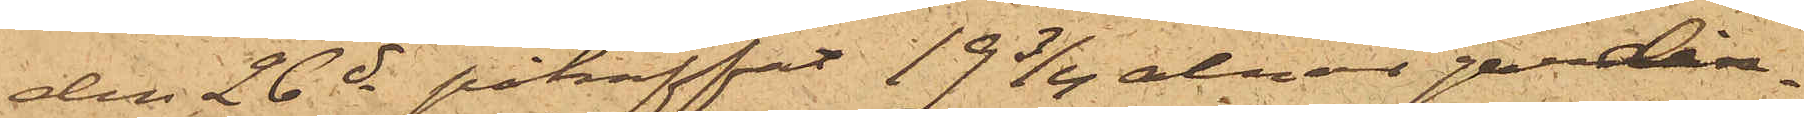den 26 ds påträffat 19 3/4 alnar gardin¬
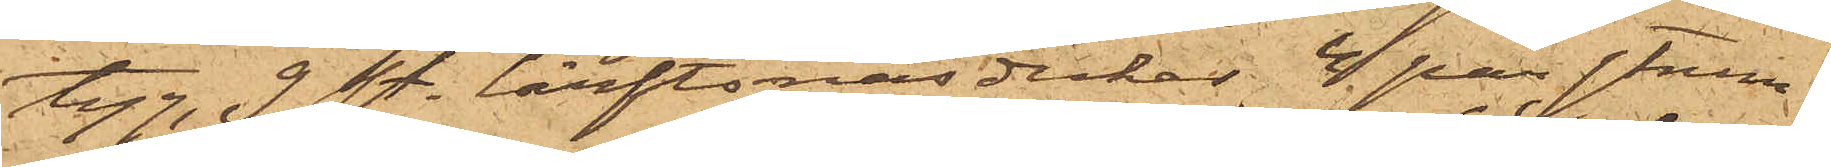tyg, 9 sty. lärftsnäsdukar, 4 par strum¬
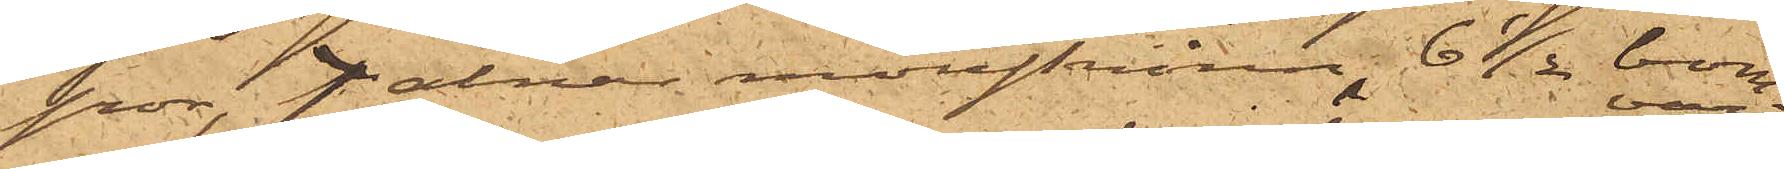gor, 7 alnar mollskinn, 6 ½ bom¬
